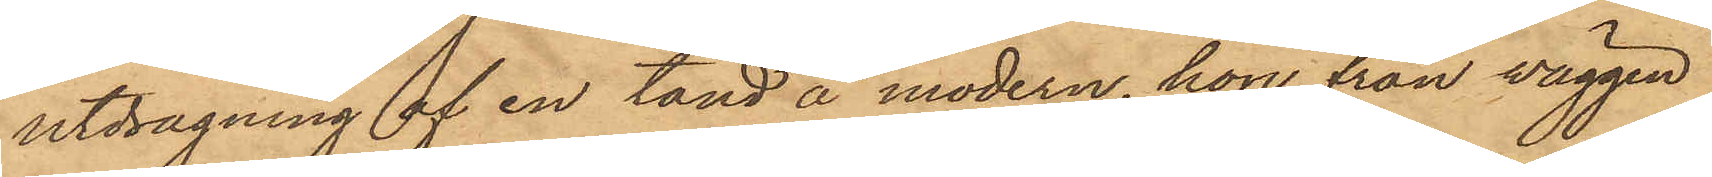utdragning af en tand å modern, hon från väggen
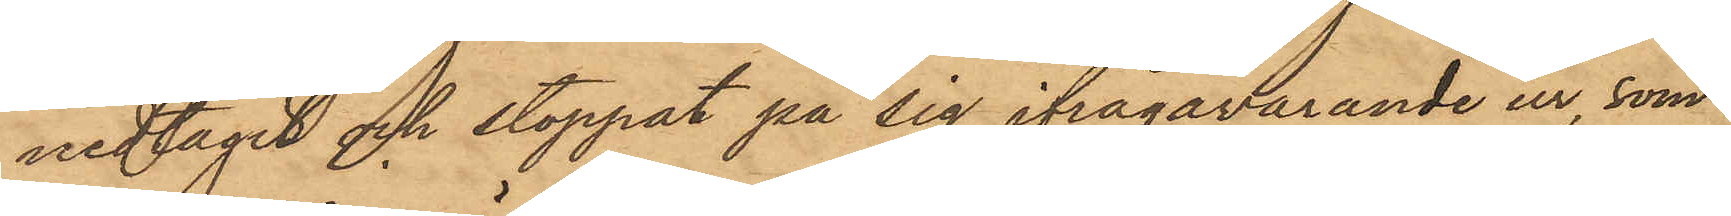nedtagit och stoppat på sig ifrågavarande ur, som
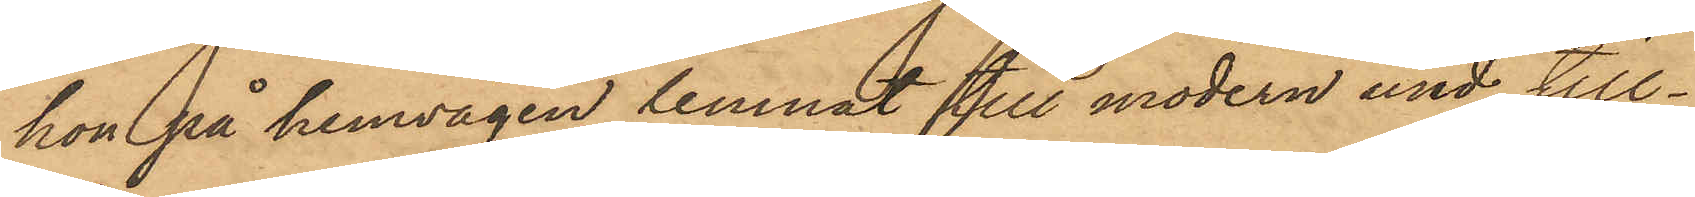hon på hemvägen lemnat till modern med till¬
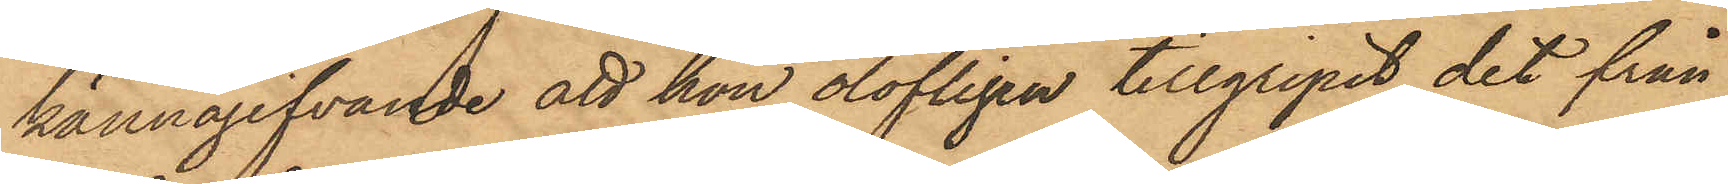kännagifvande att hon olofligen tillgripit det från
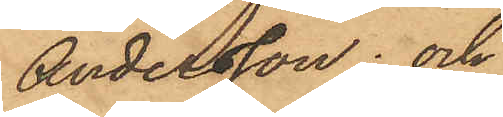Andersson; och
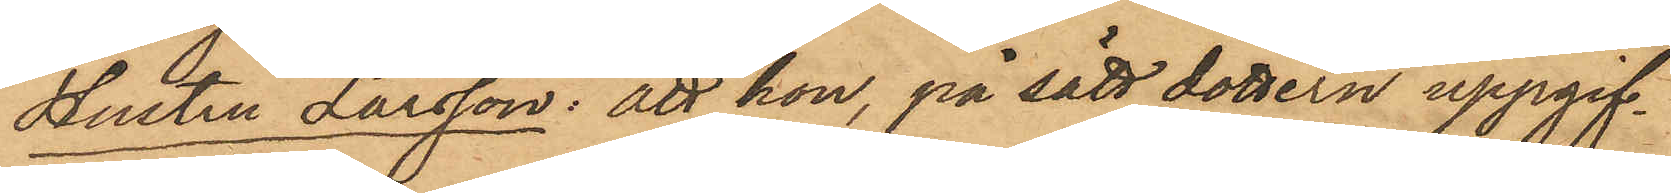Hustru Larsson: att hon, på sätt dottern uppgif¬
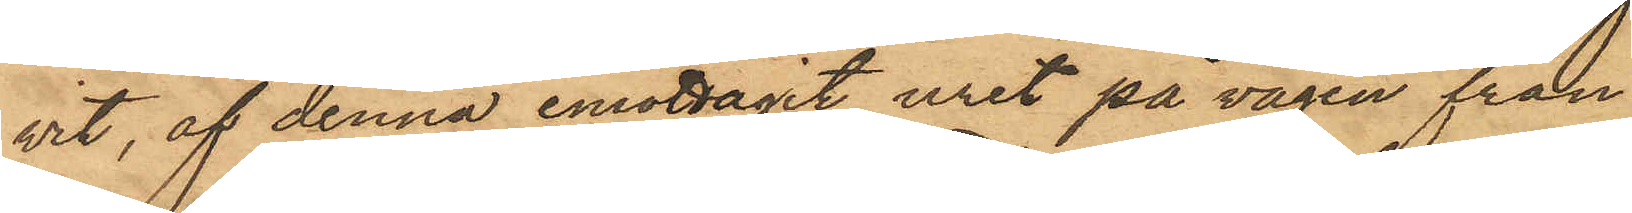vit, af denna emottagit uret på vägen från
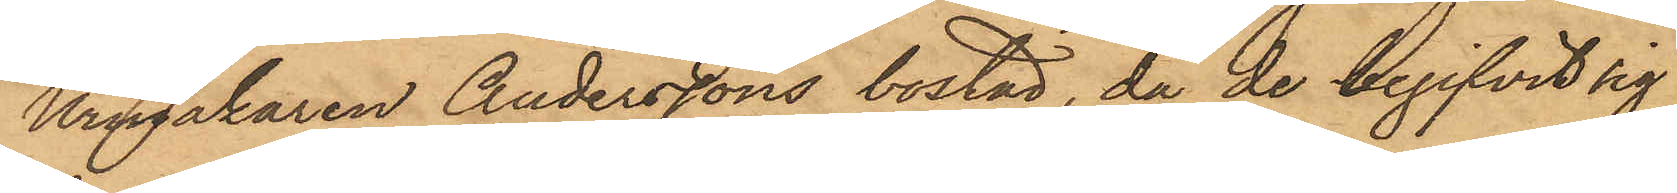Urmakaren Anderssons bostad, då de begifvit sig
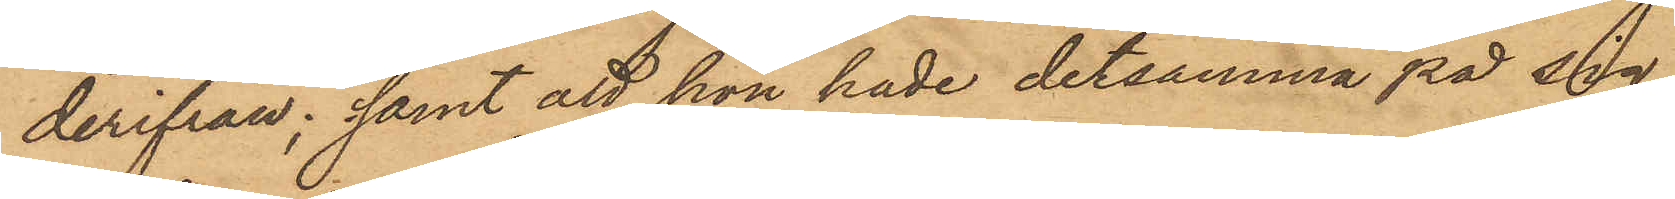derifrån; samt att hon hade detsamma på sig,
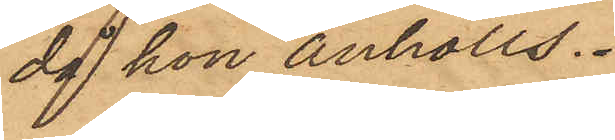då hon anhölls.
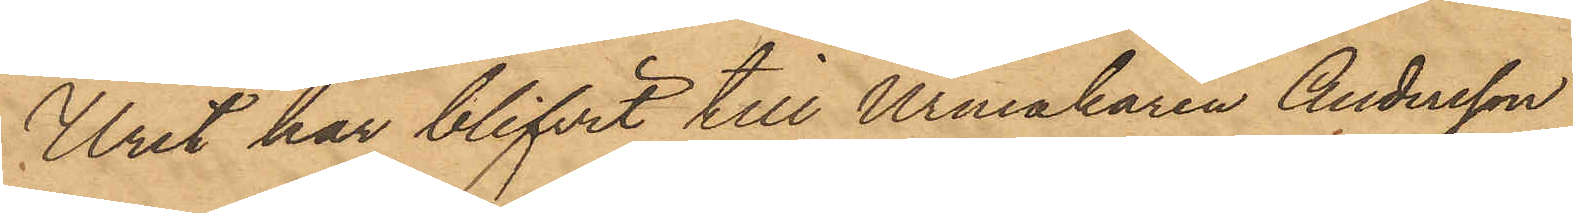Uret har blifvit till Urmakaren Andersson
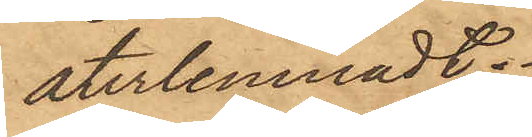återlemnadt.
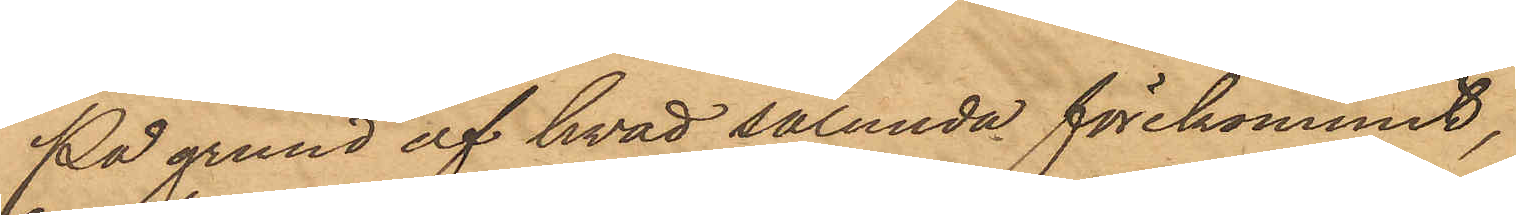På grund af hvad sålunda förekommit,
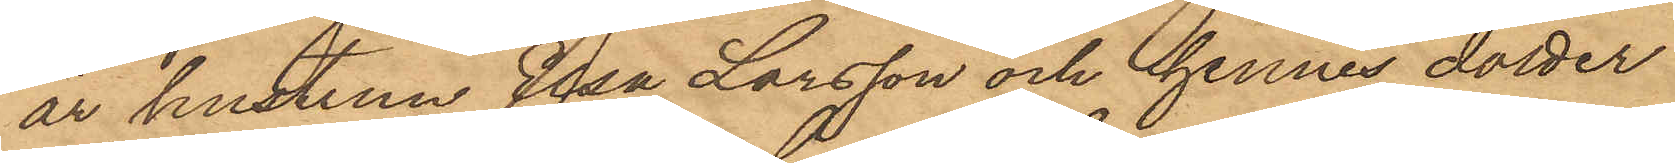är hustrun Elsa Larsson och hennes dotter
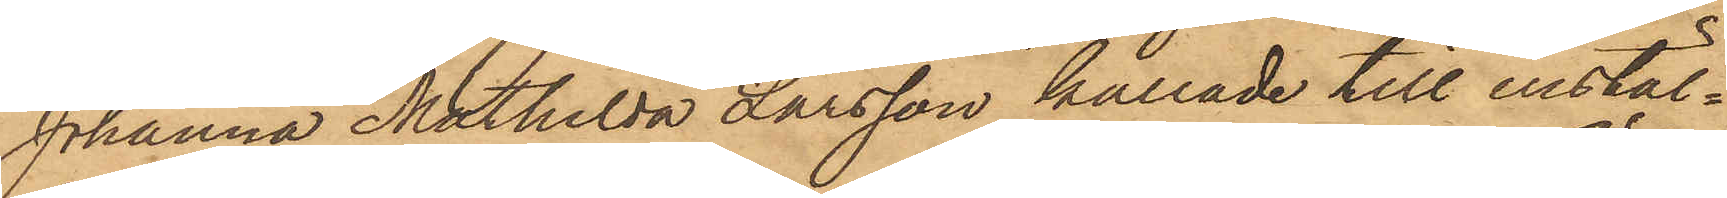Johanna Mathilda Larsson kallade till instäl¬
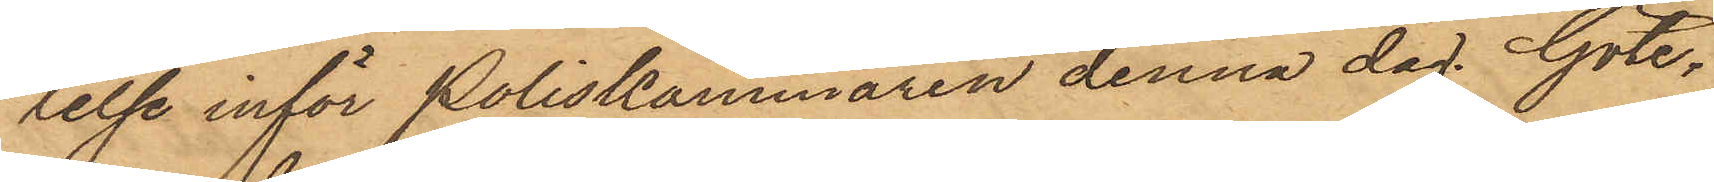lelse inför Poliskammaren denna dag Göte¬
